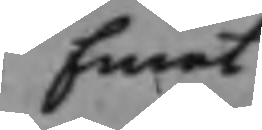Emot
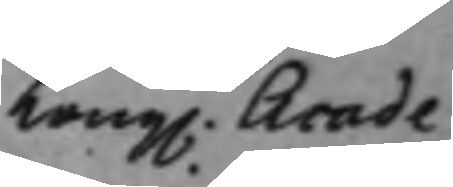Kong. Acade¬
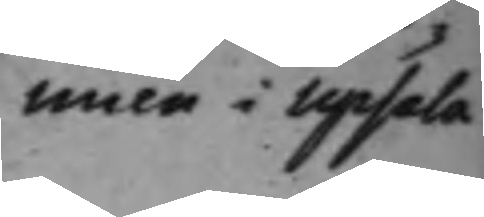mien i Upsala.
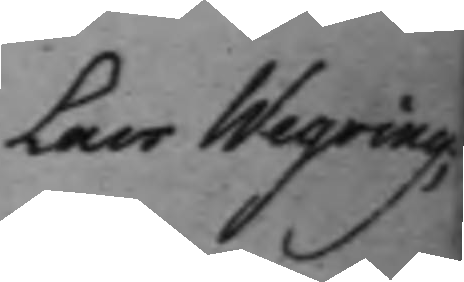Lars Wegring;
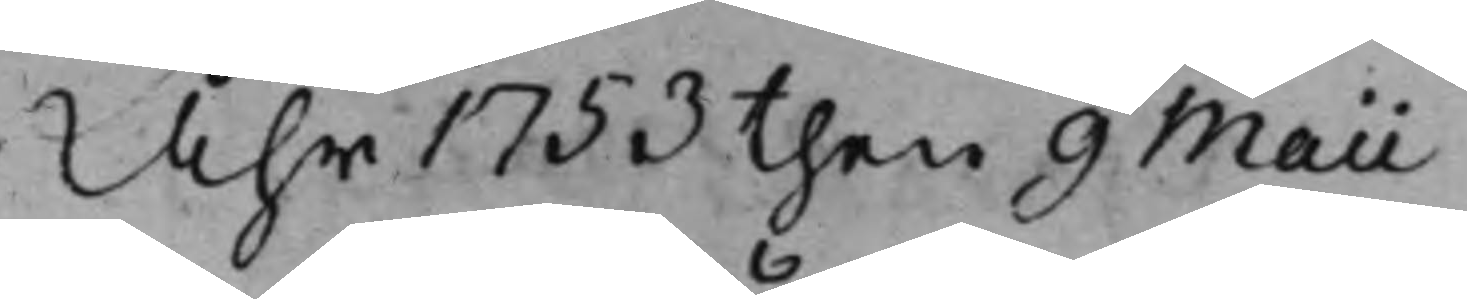Åhr 1735 then 9 Maii
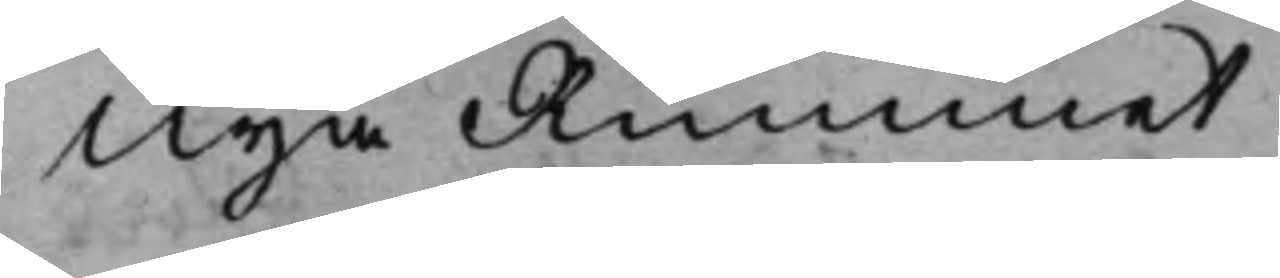Nya Rummet
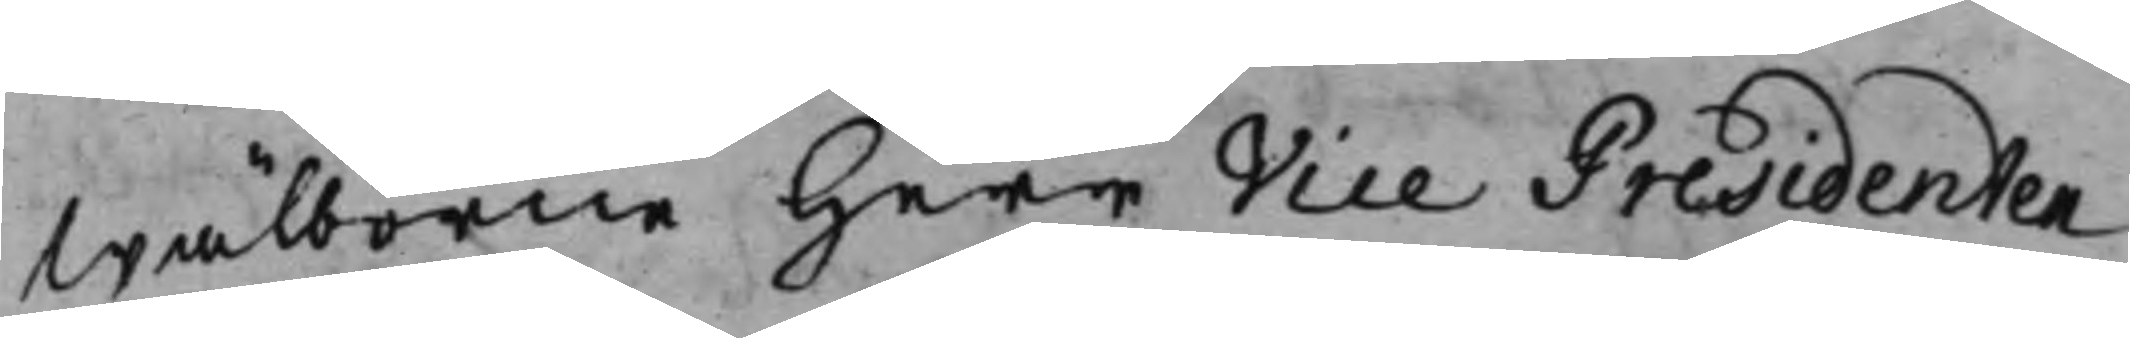Wälborne Herr Vice Presidenten
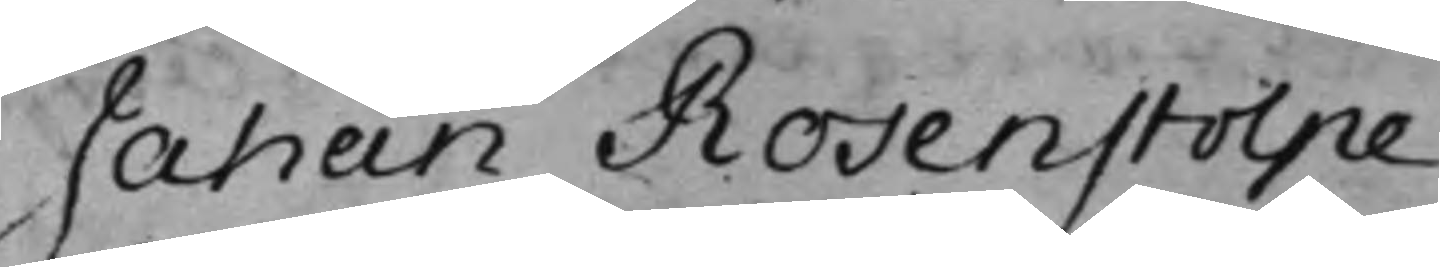Jahan Rosenstolpe
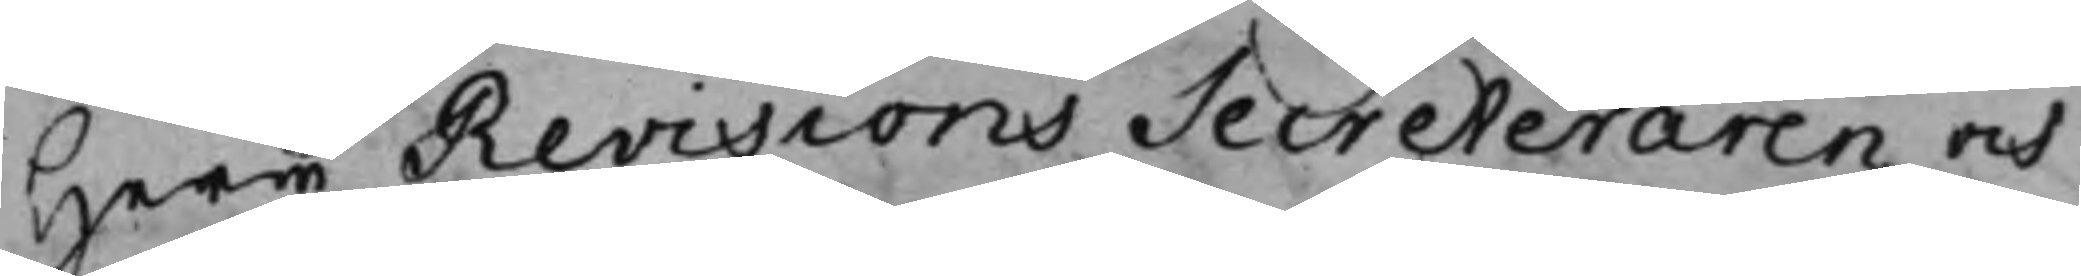Herr Revisions Secreteraren och
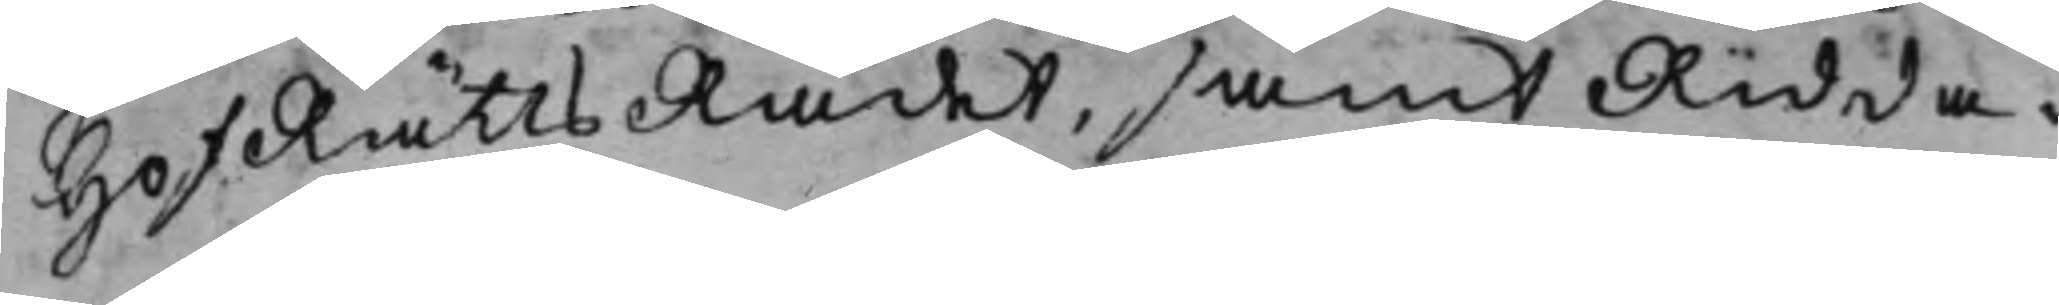HofRättsRådet, samt Ridda¬
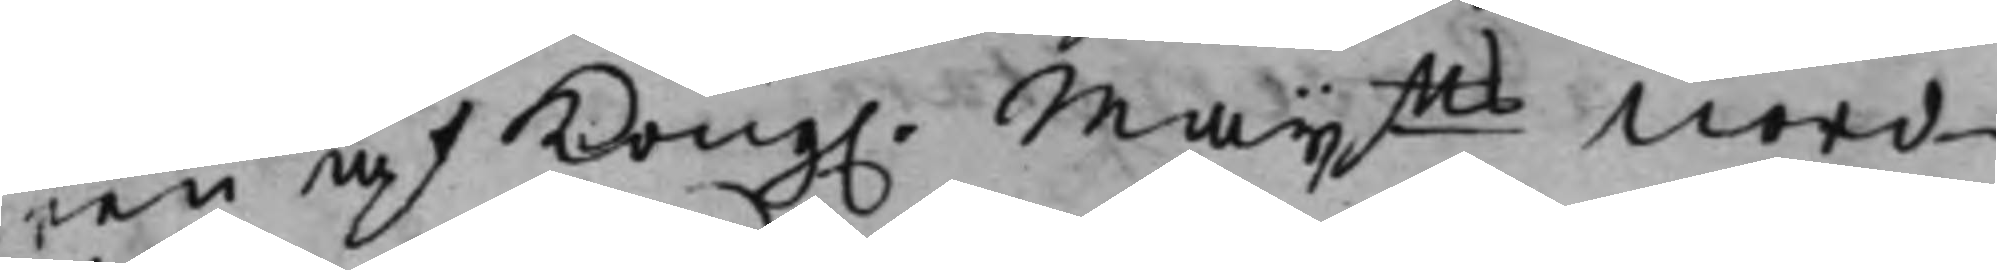ren af Kong. Maijtts Nord¬ 
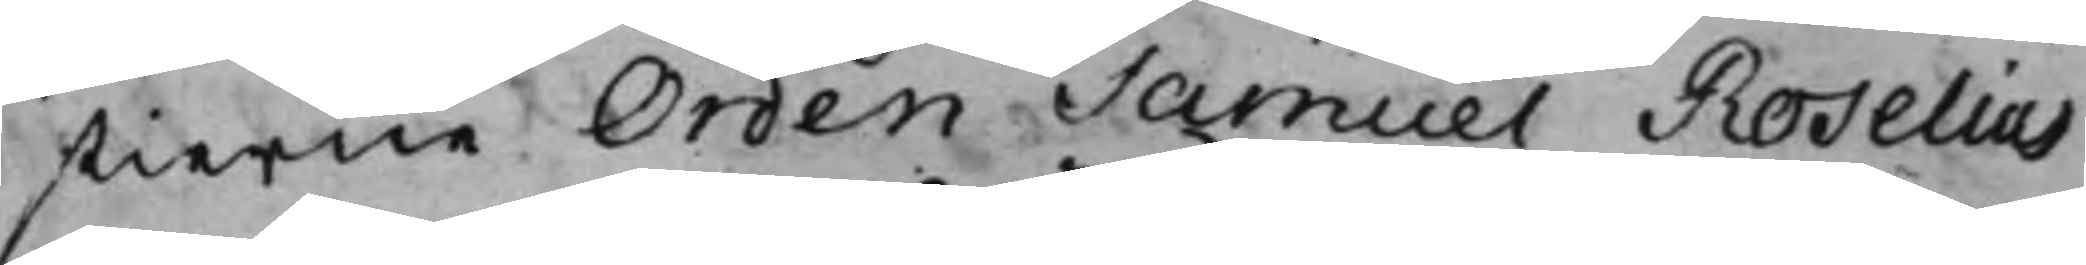stierne Orden Samuel Roselius
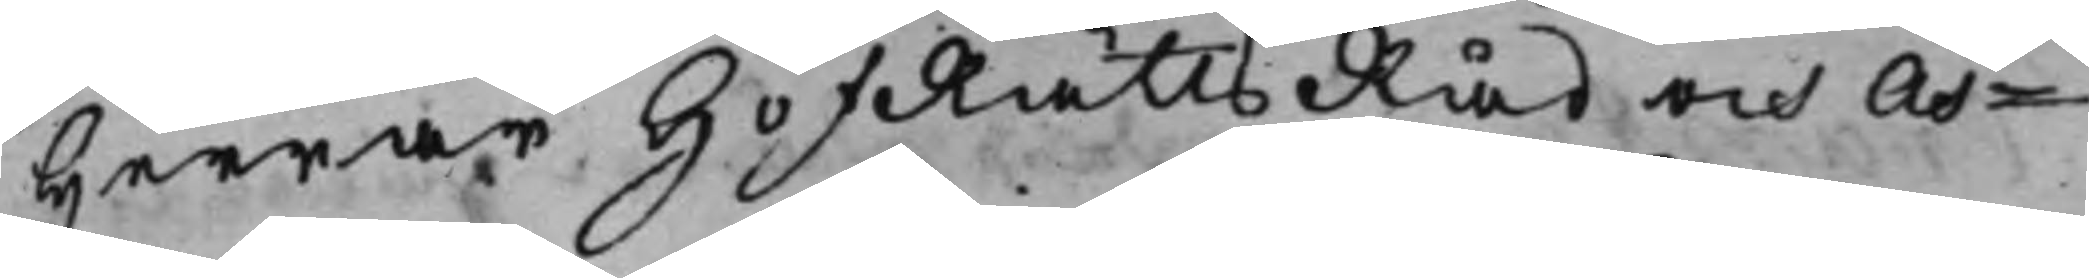Herrar HofRättsRåd och As¬
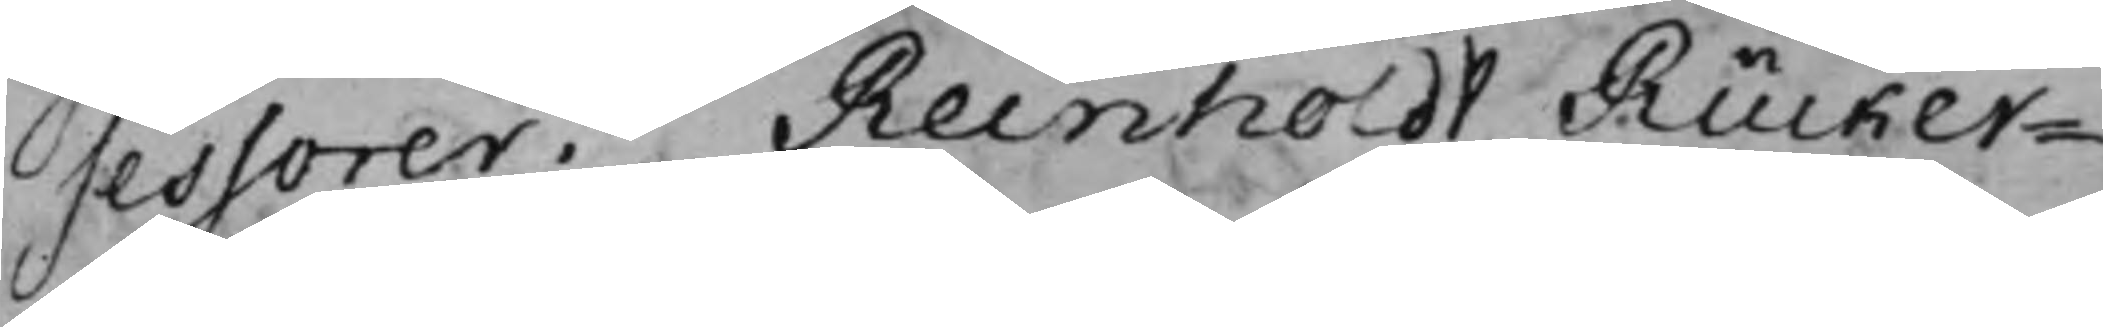sessorer. Reinholdt Rücker¬
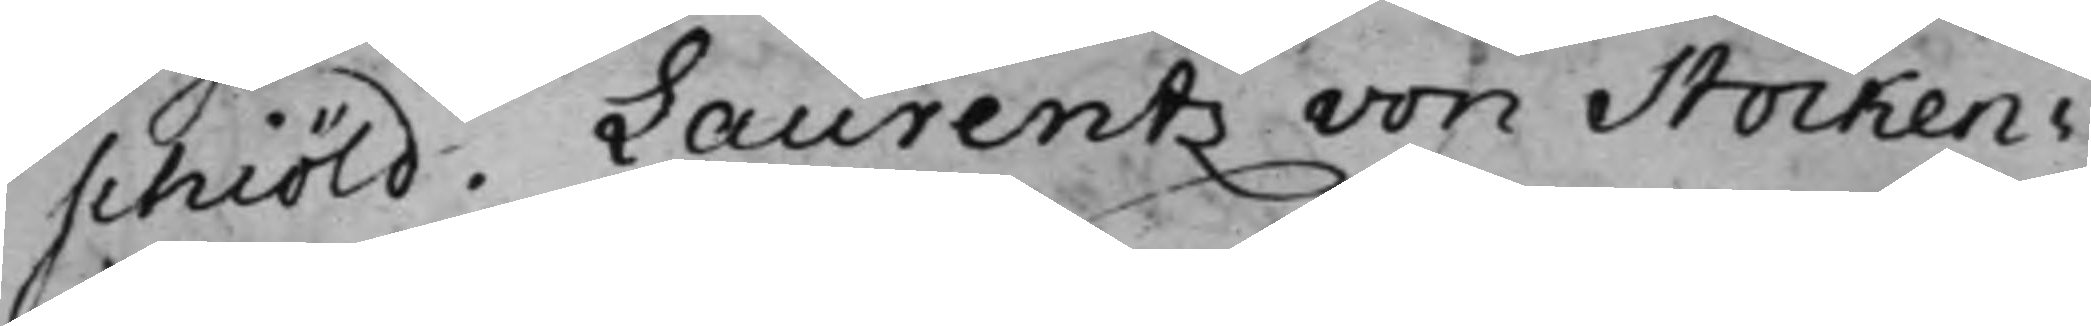schiöld. Laurentz von Stocken¬
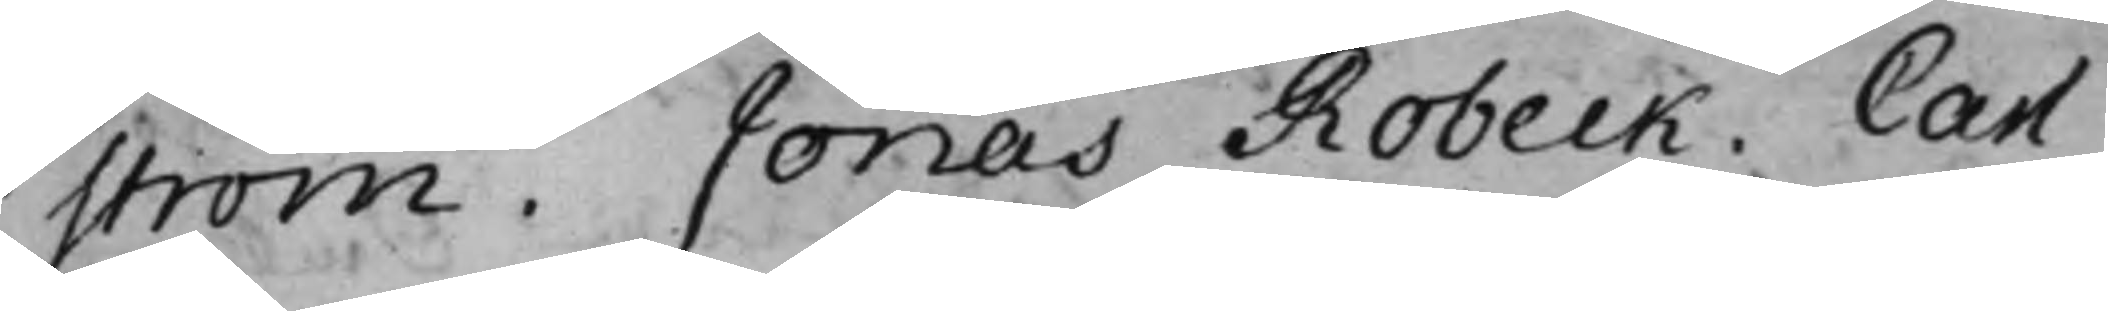ström. Jonas Robeck. Carl
